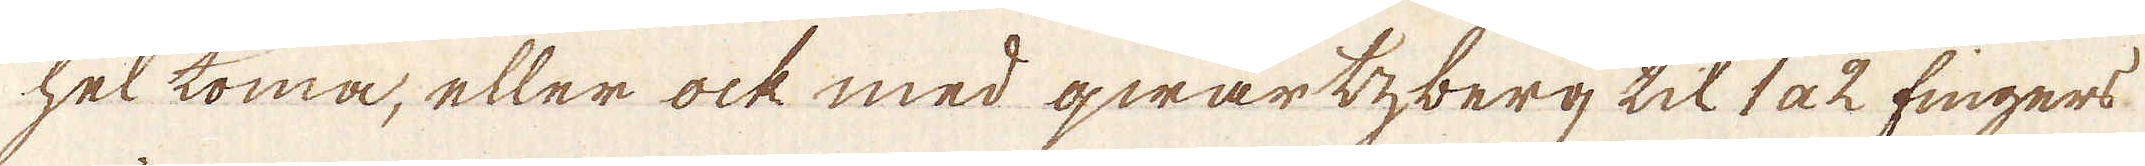hel koma, eller ock med qwartzberg til 1 a 2 fingers
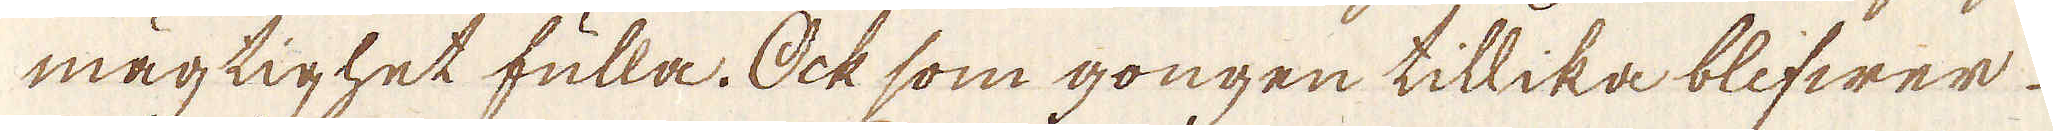mägtighet fulla. Ock som gongen tillika blifwer
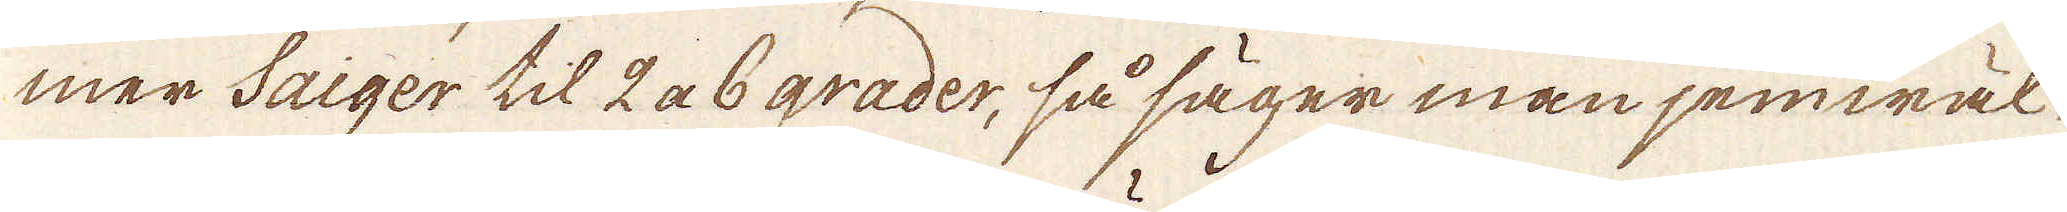mer Saiger til 2 a 6 grader, så säger man jemwäl
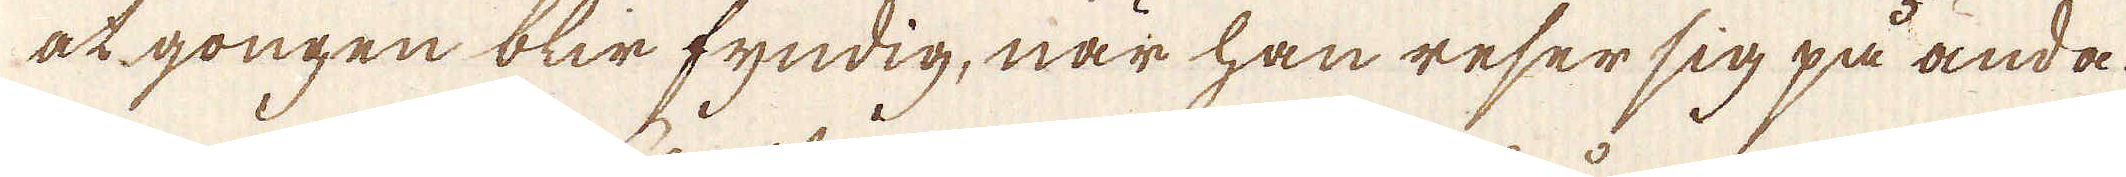at gongen blir fyndig, när han reser sig på ända
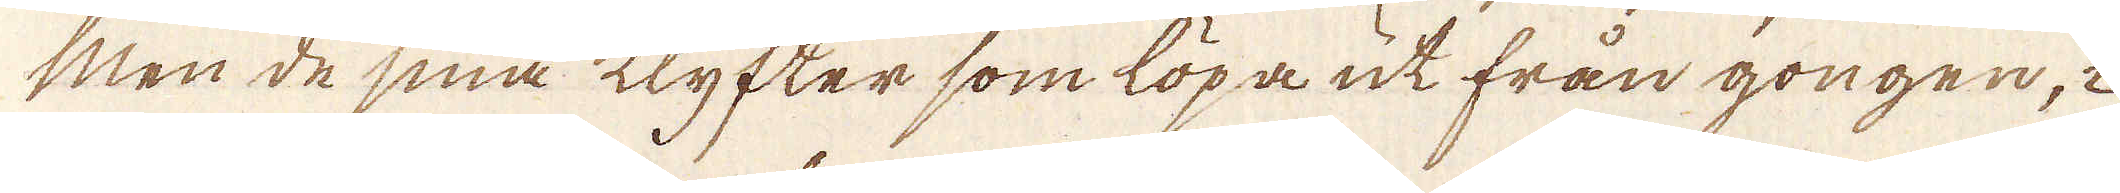Men de sina klyfter som löpa ut från gongen, i
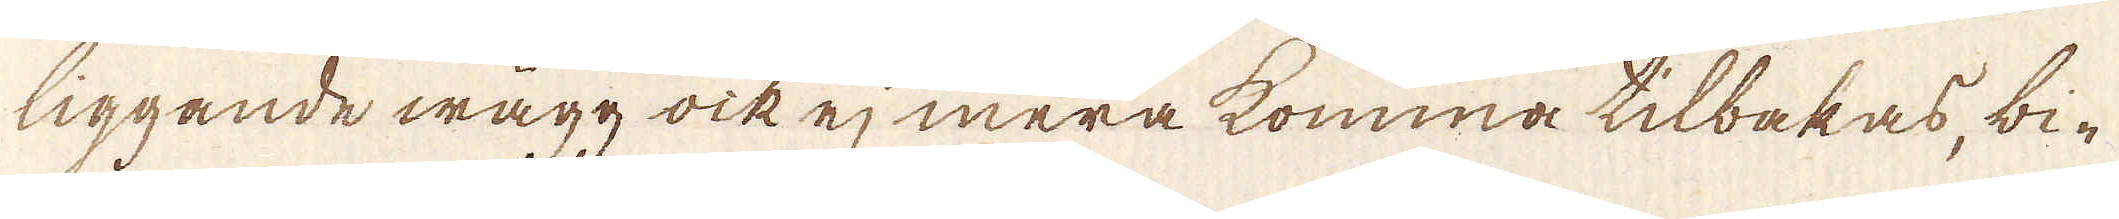liggande wägg ock ej mera komma tilbakas, bi-
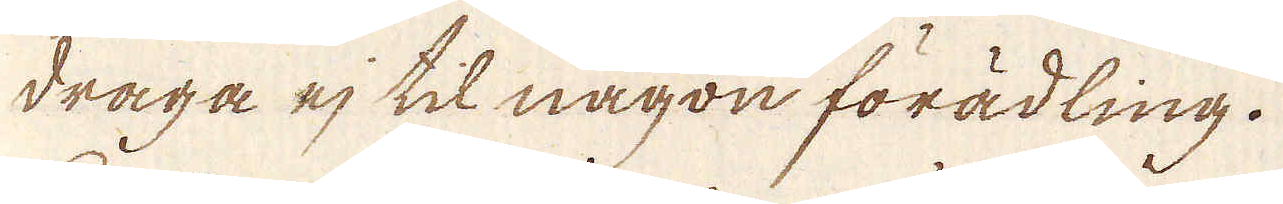draga ej til någon förädling.
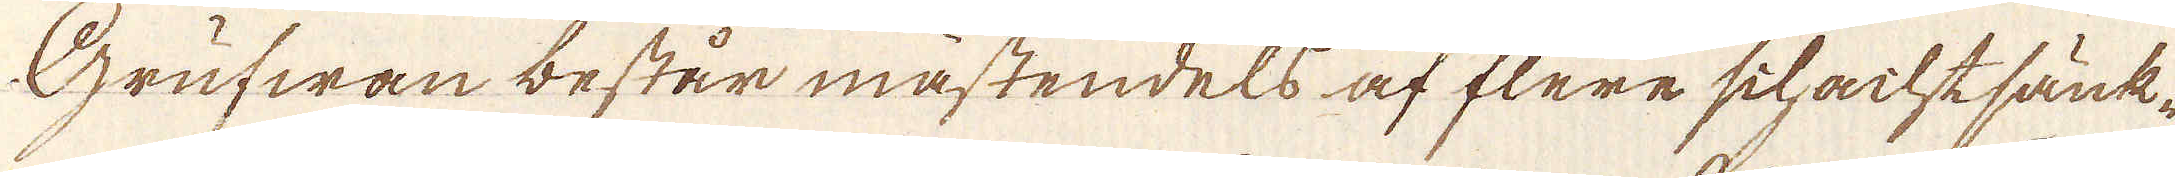Grufwan består mästendels af flere schachtsänk-
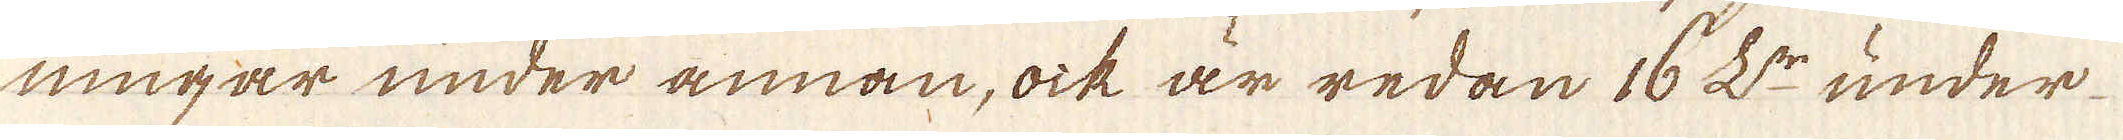ningar under annan, ock är redan 16 L:r under
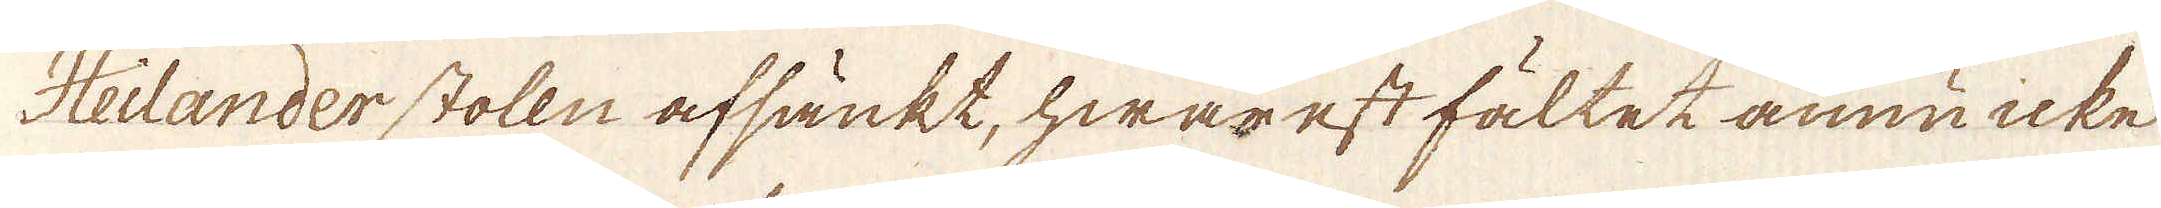Heilander stolen afsänkt, hwarest fältet ännu icke
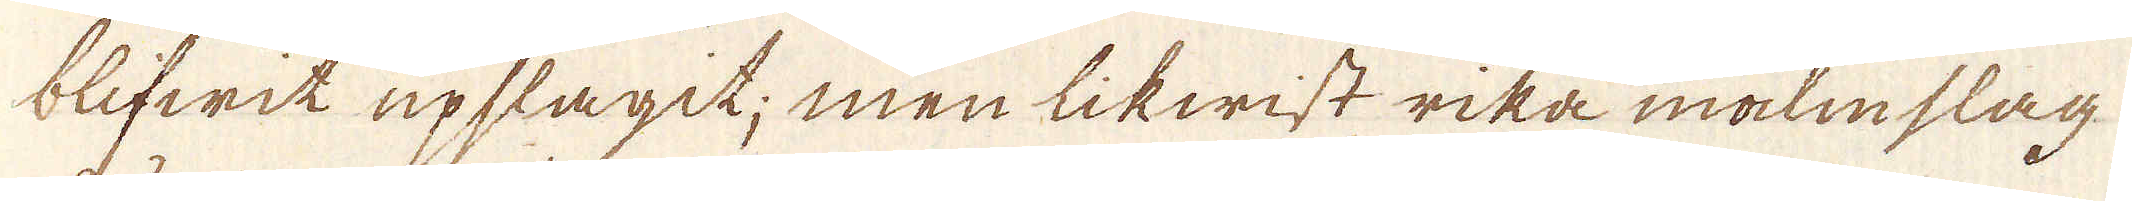blifwit upslagit; men likwist rika malmslag
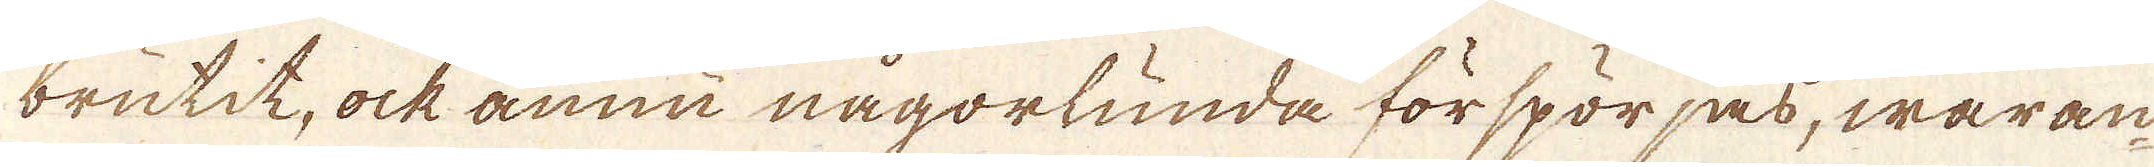brutit, ock ännu någorlunda förspörjas, waran-
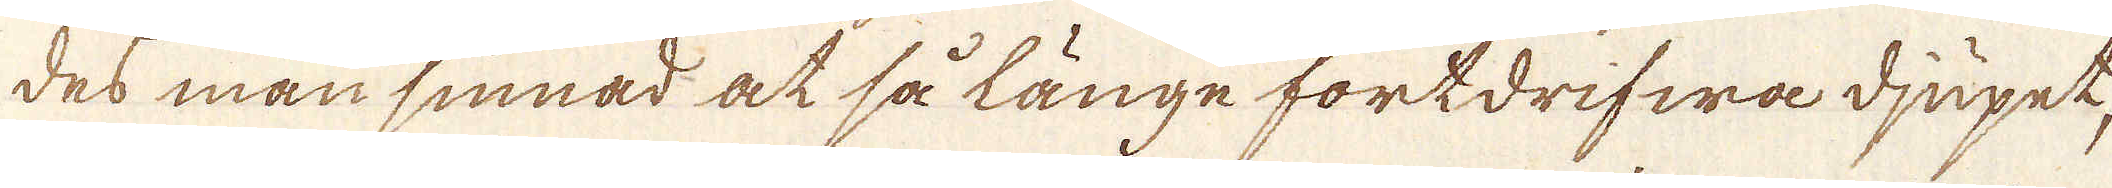des man sinnad at så länge fortdrifwa djupet,
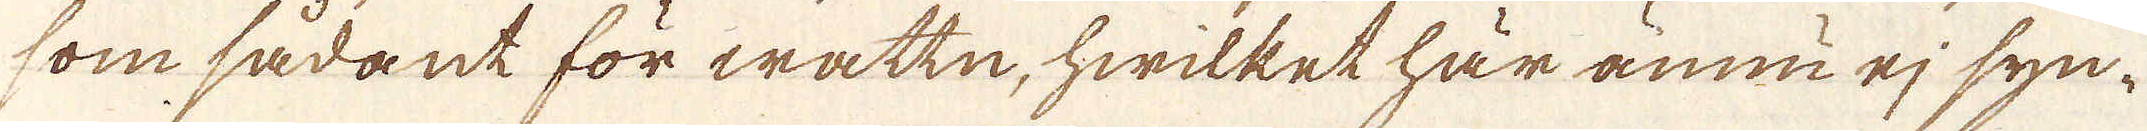som sådant för wattn, hwilket har ännu ej syn-
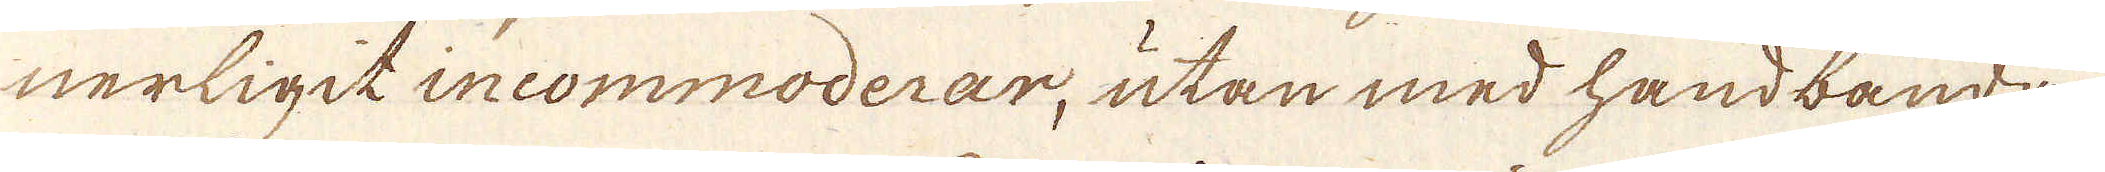nerligit incommoderar, utan med handbanda-
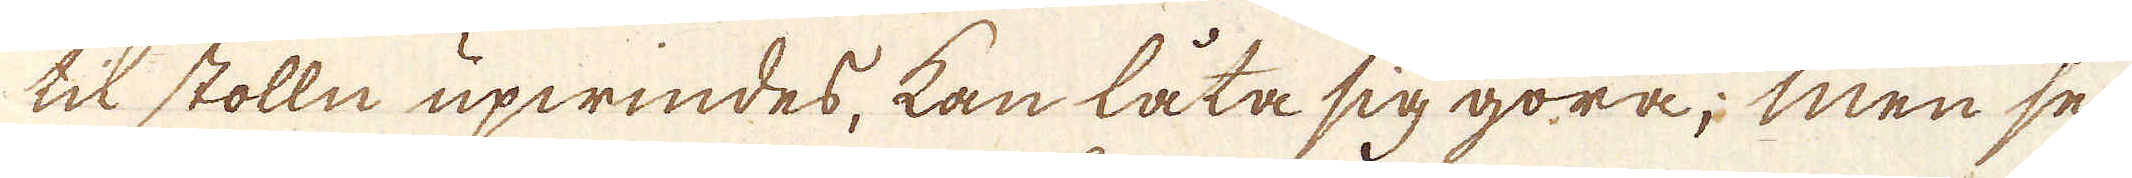til stolln upwindes, kan låta sig göra; men se-
